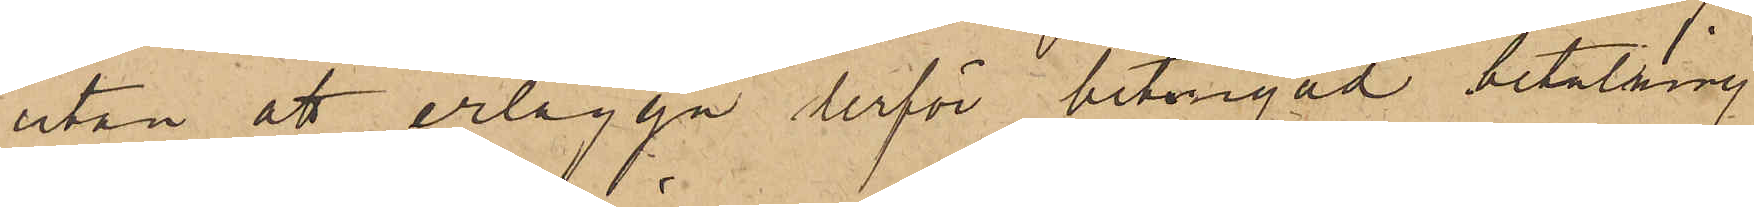utan att erlägga derför betingad betalning
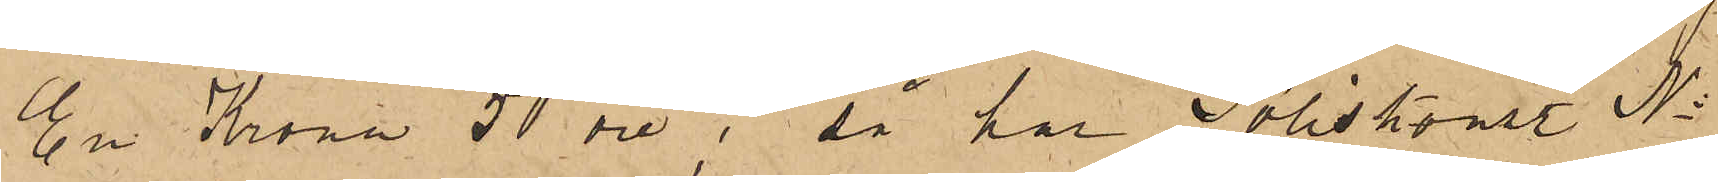En Krona 50 öre; så har Poliskonst. No
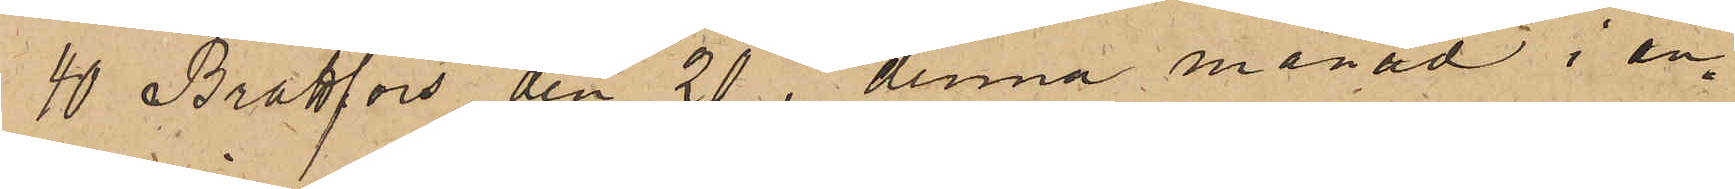40 Brattfors den 20 i denna månad i an¬
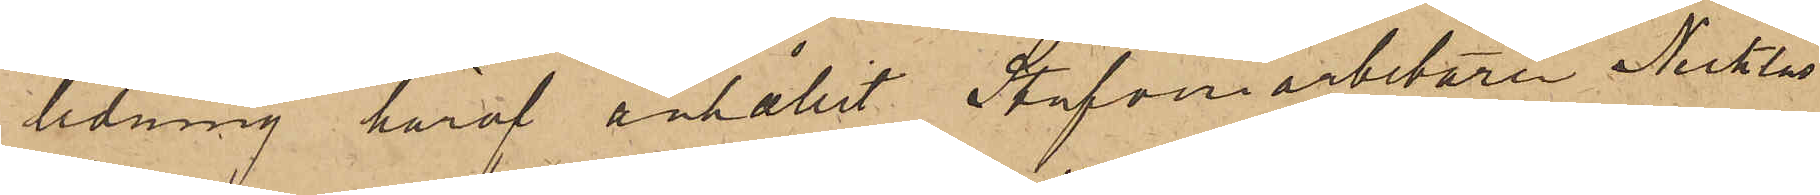ledning häraf anhållit Stufveriarbetaren Nicklas
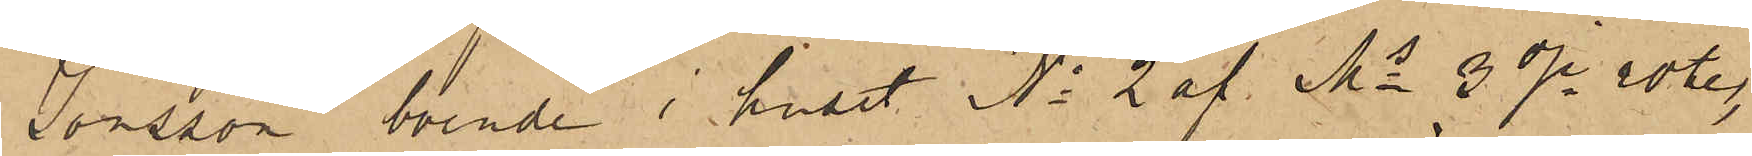Jonsson, boende i huset No 2 af Ms 3dje rote,
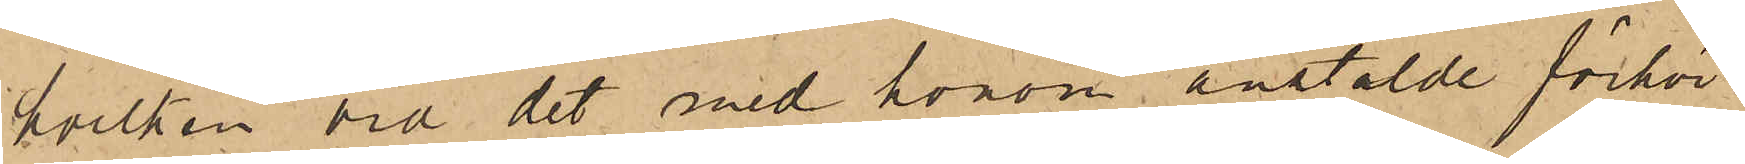hvilken vid det med honom anstälde förhör
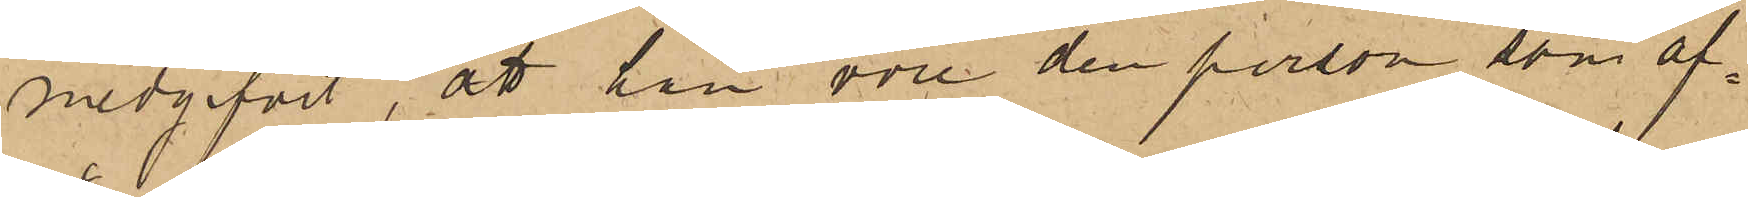medgifvit, att han vore den person, som af¬
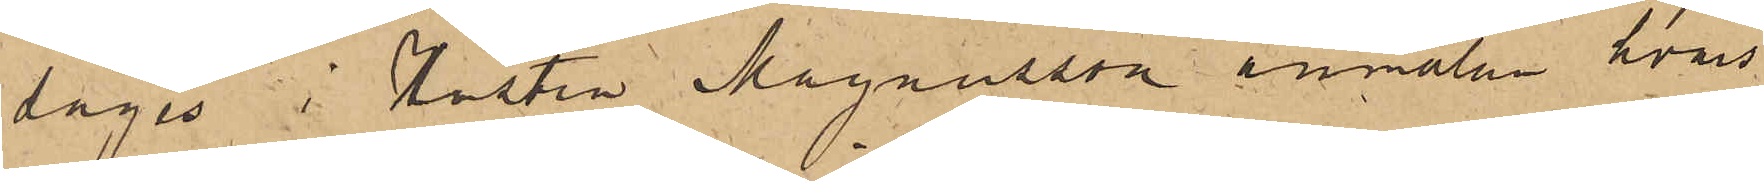såges i Hustru Magnusson anmälan hvars
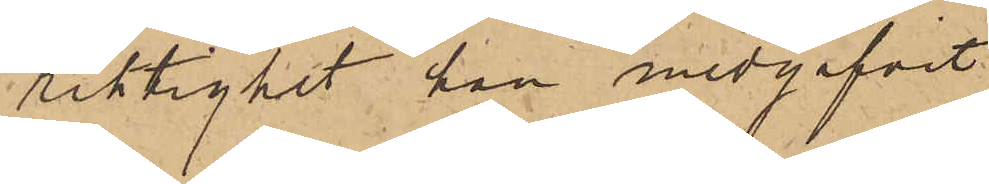riktighet han medgifvit.
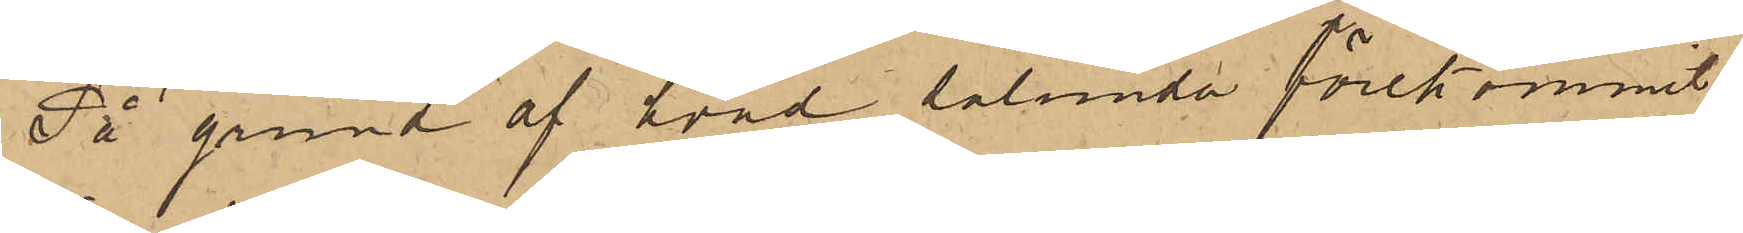På grund af hvad sålunda förekommit
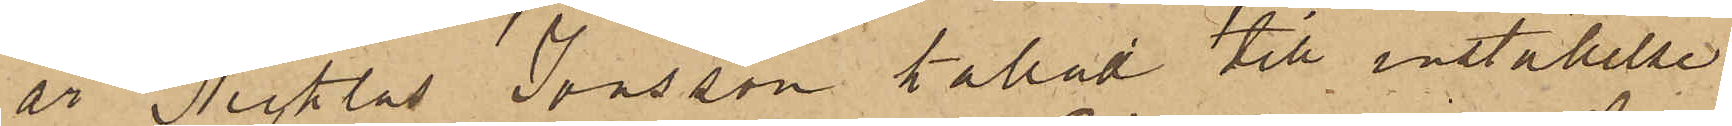är Niklas Jonsson kallad till inställelse
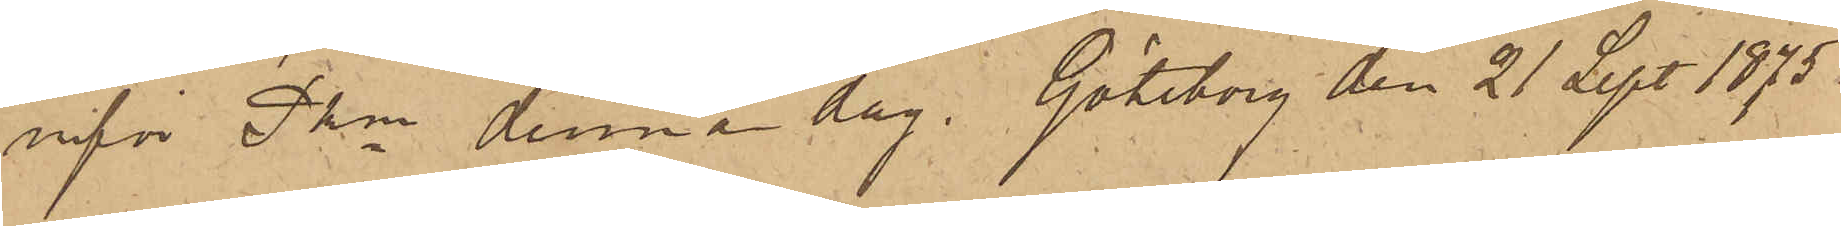inför Pkn denna dag. Göteborg den 21 Sept. 1875.
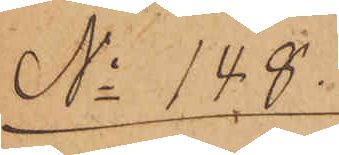No 148.
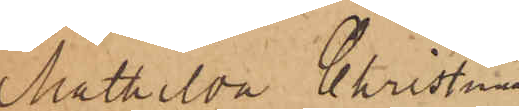Mathilda Christina
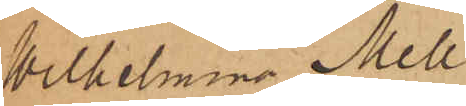Wilhelmina Mell¬
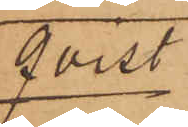qvist
